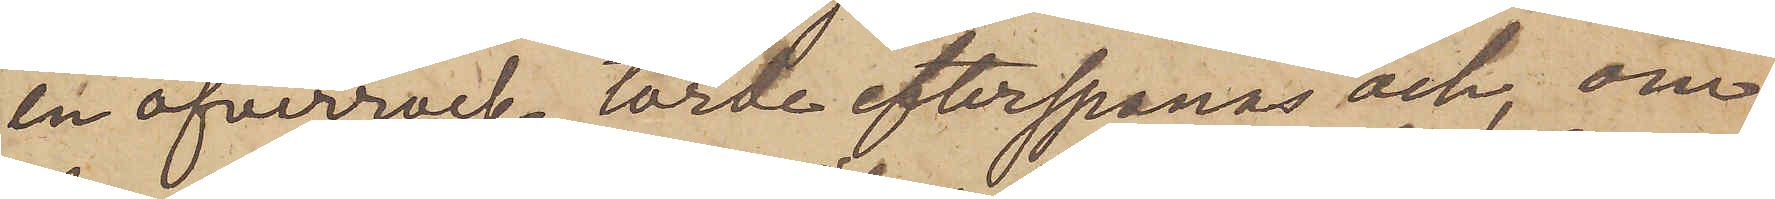en öfverrock, torde efterspanas och, om
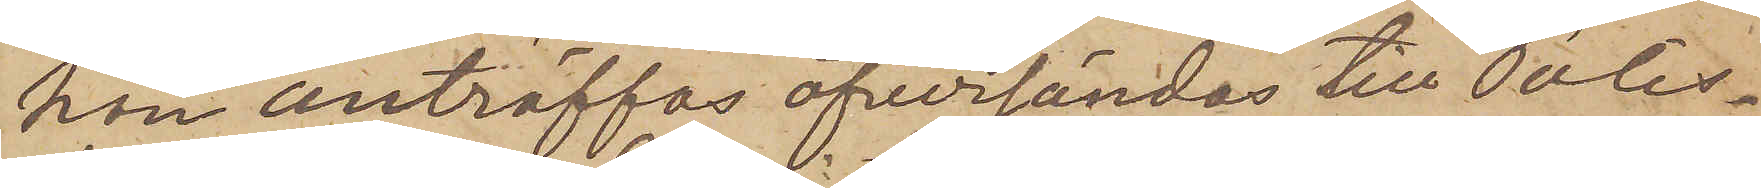han anträffas, öfversändas till Polis¬
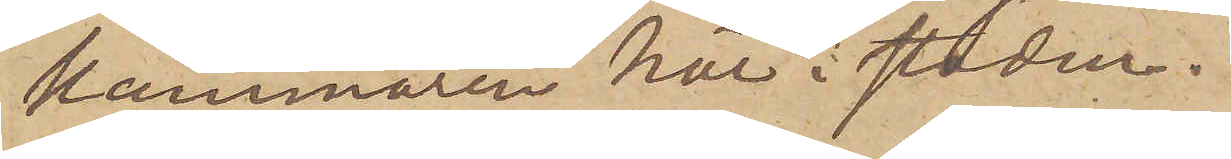kammaren här i staden.
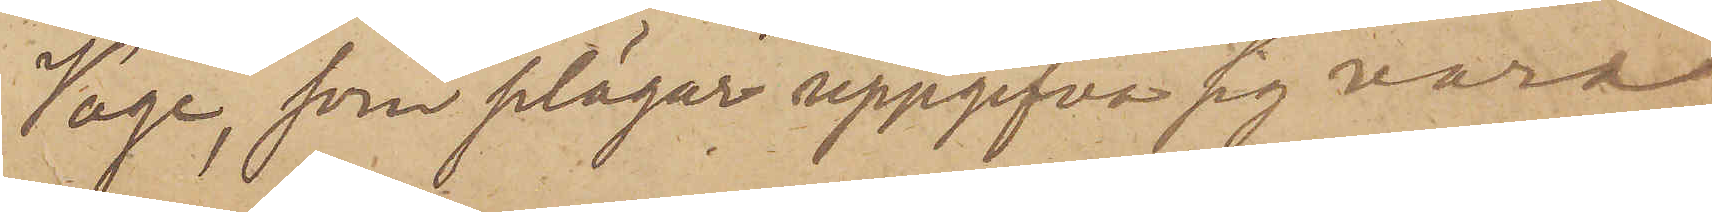Voge, som plägar uppgifva sig vara
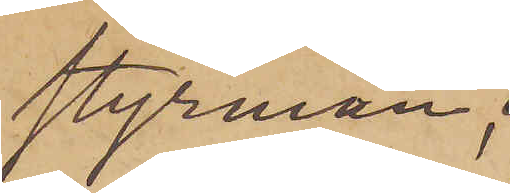Styrman,
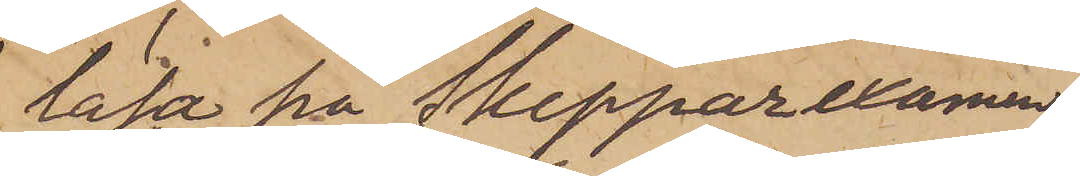läsa på Skepparexamen
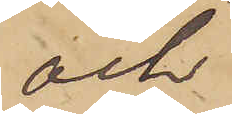och
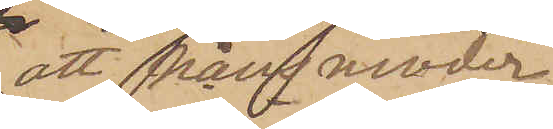att från moder
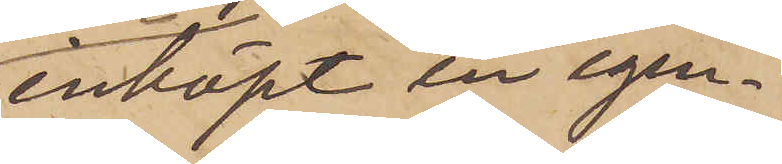inköpt en egen¬
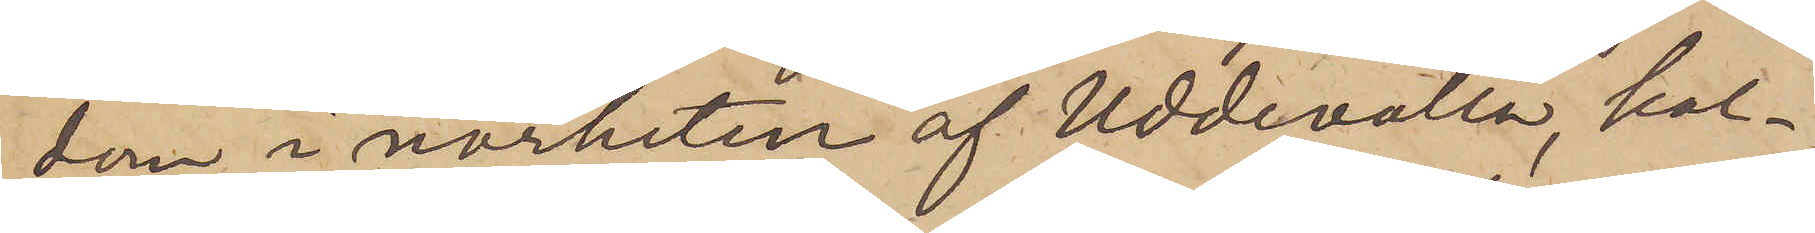dom i närheten af Uddevalla, kal¬
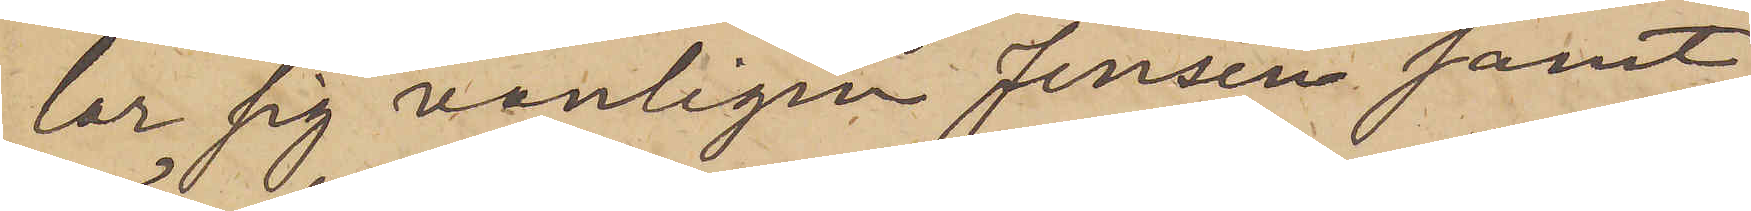lar sig vanligen Jensen samt
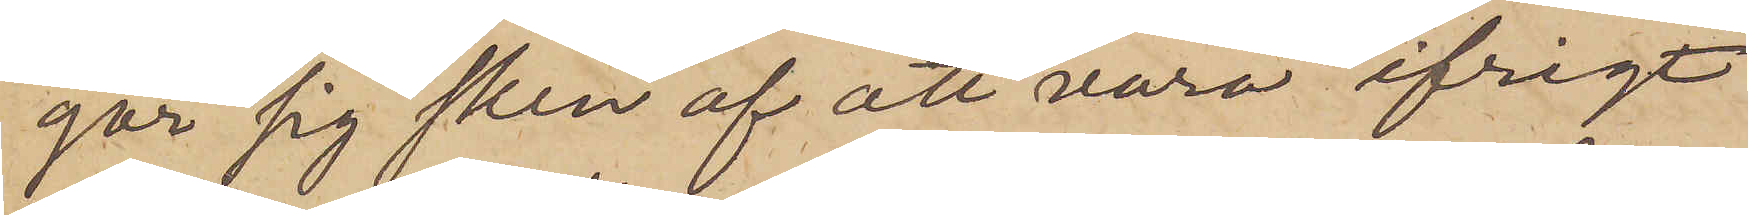gör sig sken af att vara ifrigt
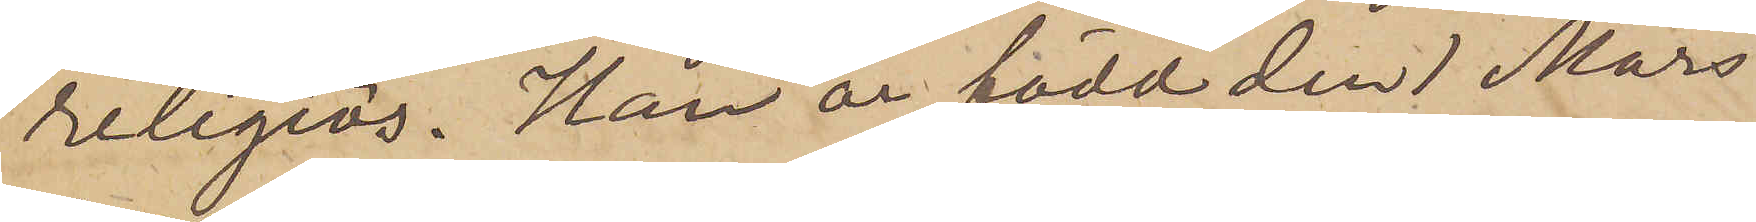religiös. Han är född den 1 Mars
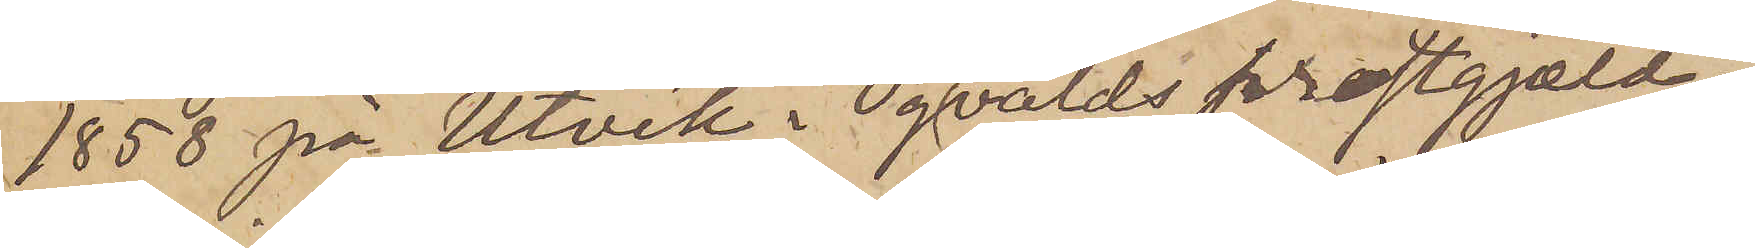1858 på Utvik i Ögnevalds prestgjæld i
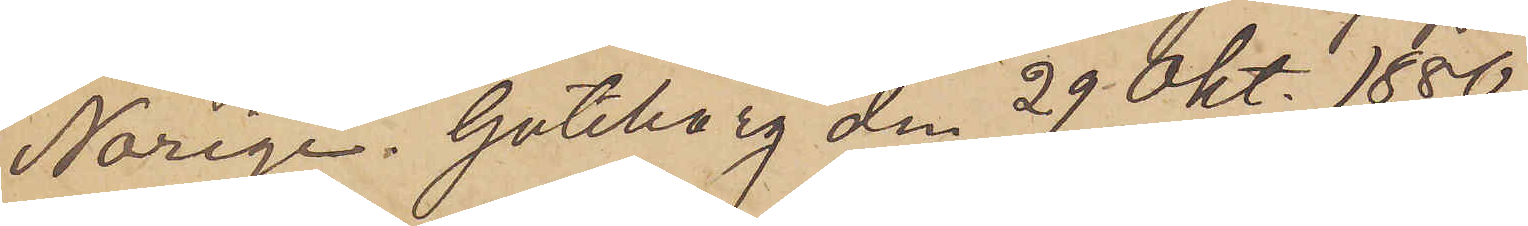Norige. Göteborg den 29 Okt. 1880.
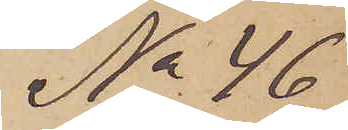No 46
